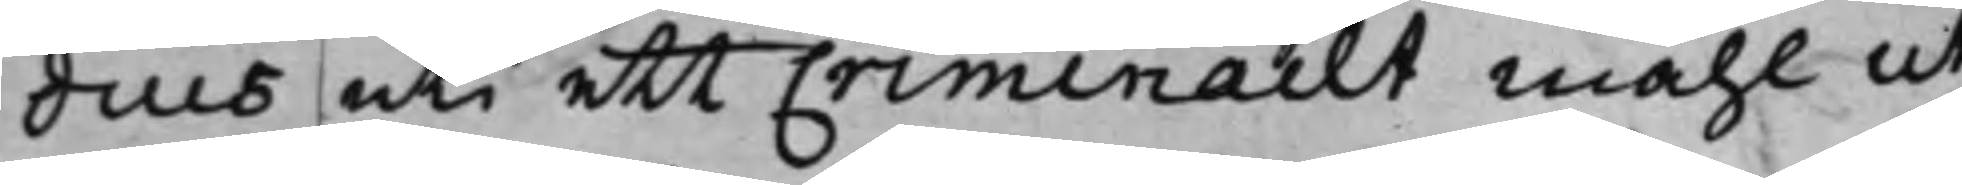dius uti ett Criminailt måhl ut
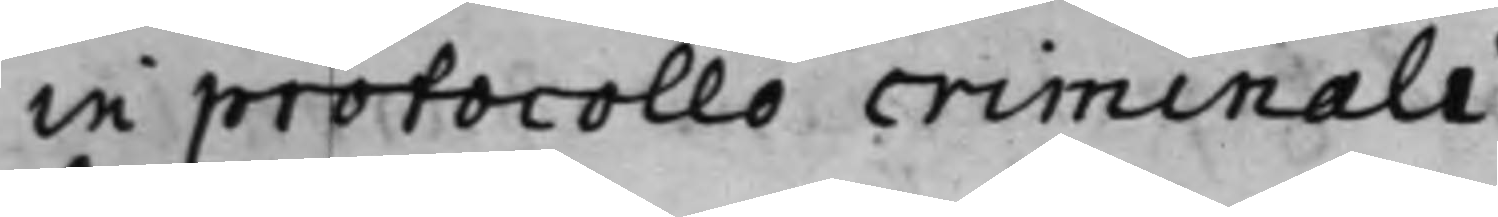in protocollo criminali.
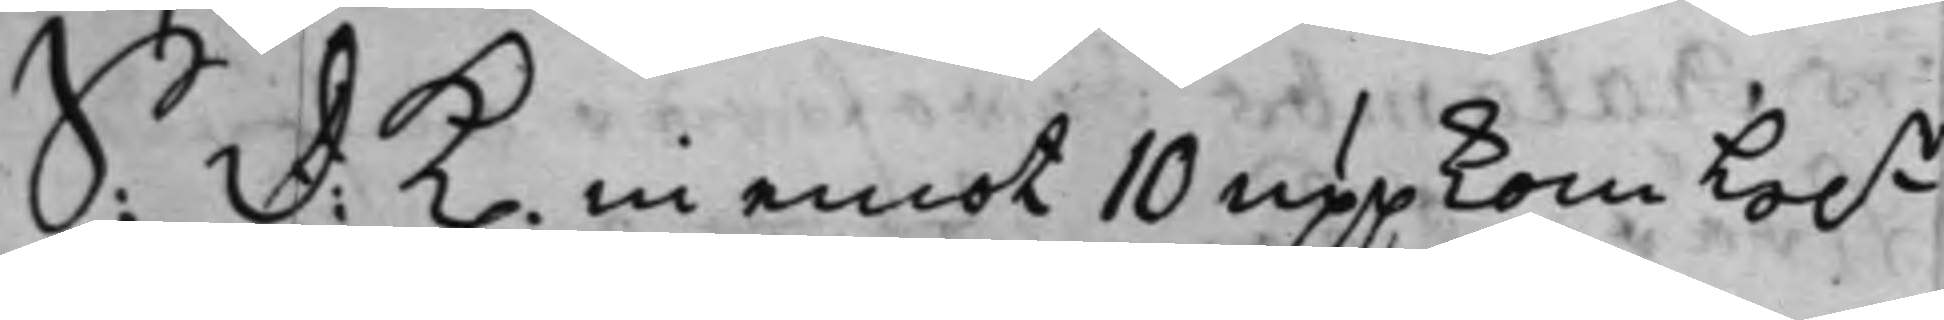S: D: K. in emot 10 uppkom H.r
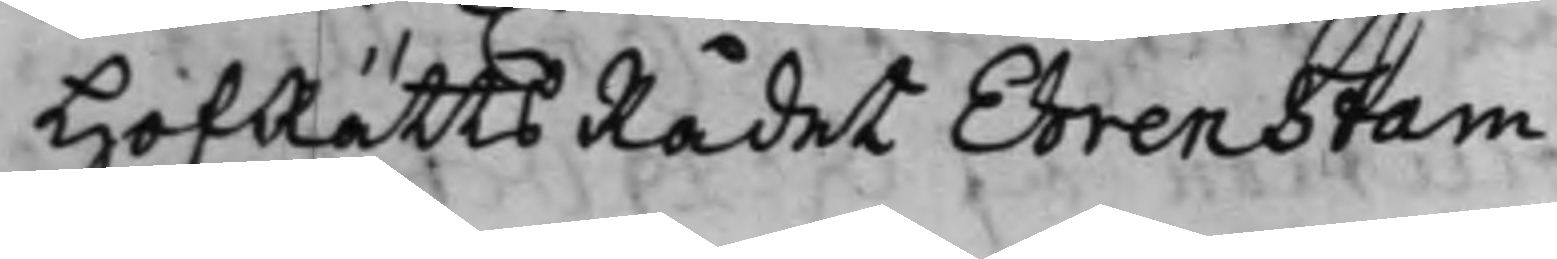HofRättsRådet Ehrenstam.
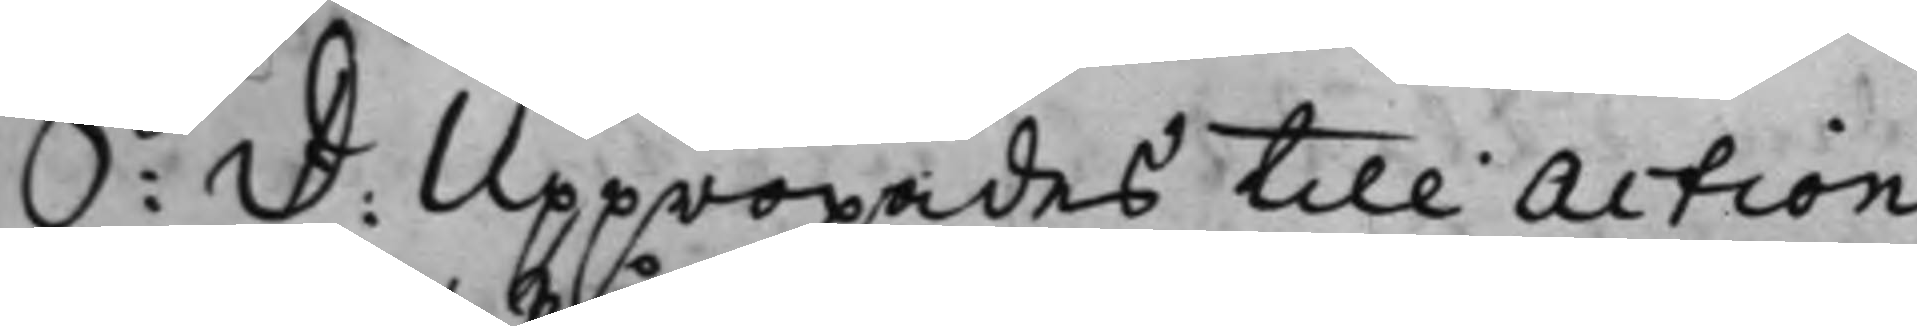S: D: Uppropades till Action
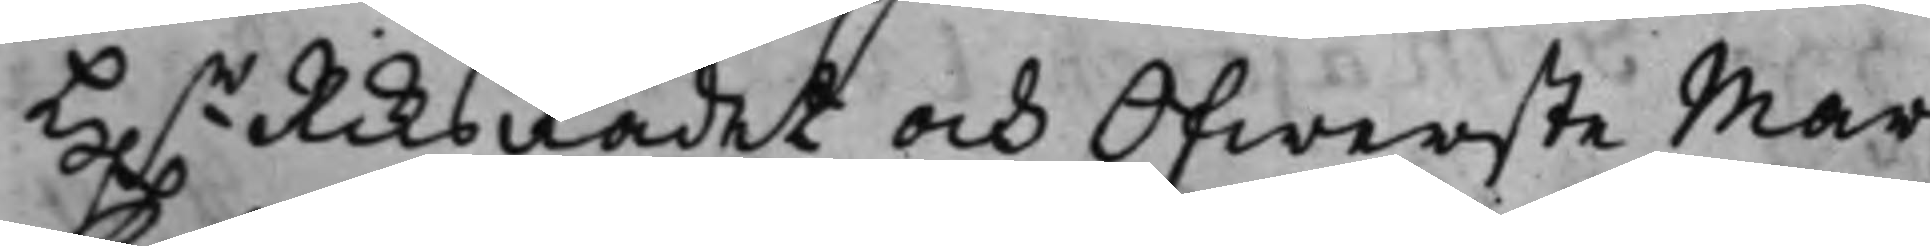H.r RiksRådet och Ofwerste Mar¬
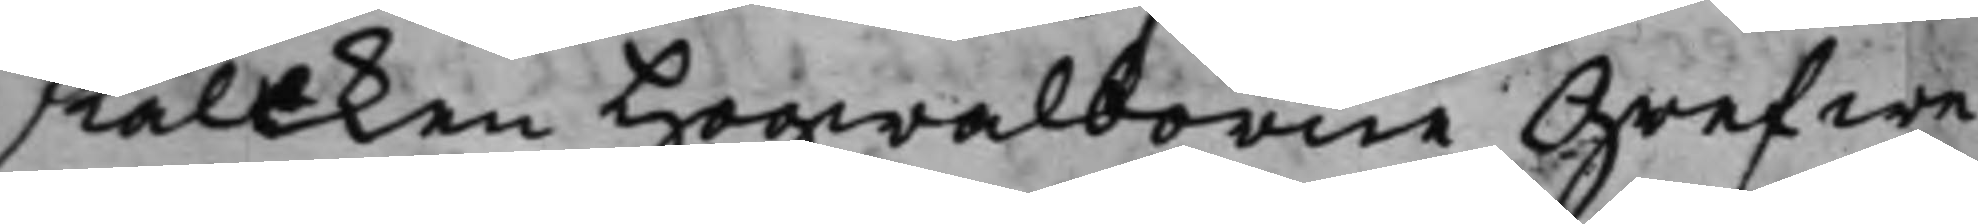skalken Hogwalborne Grefwe
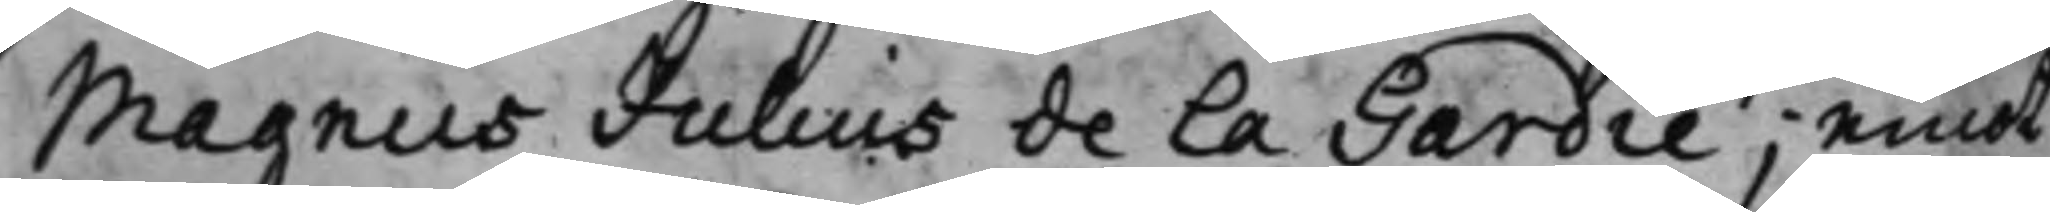Magnus Julius de la Gardie; emot
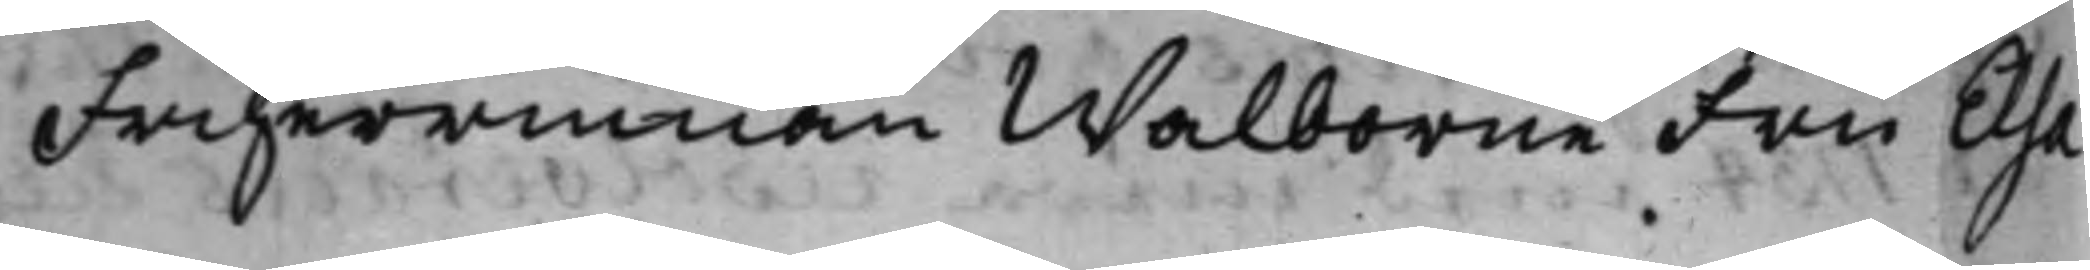Friherrinnan Walborne Fru Elsa
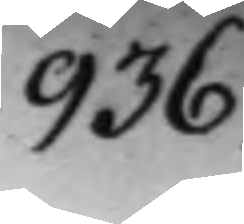936.
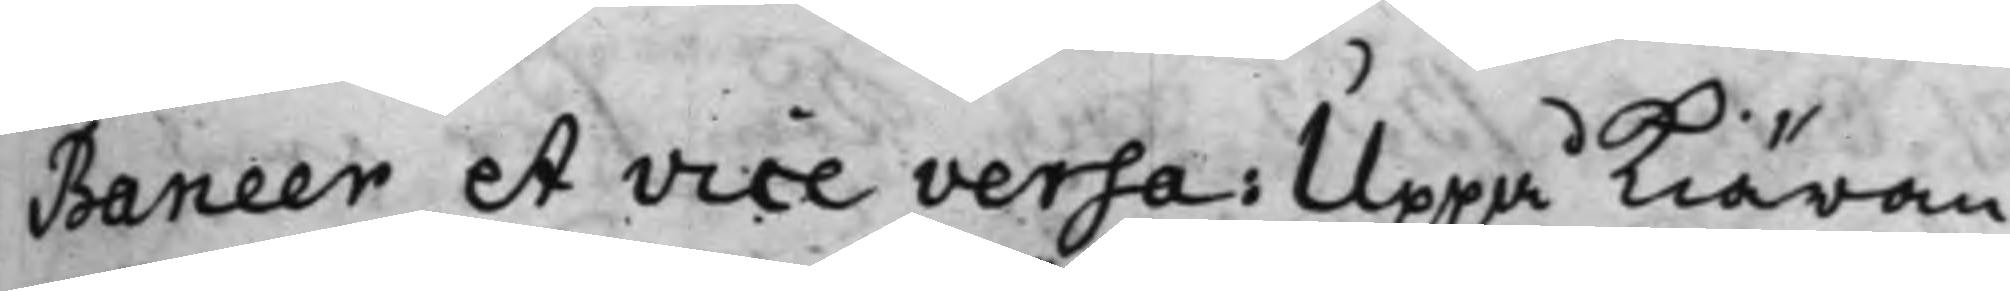Baneer et vice versa: Uppå Kiäran¬
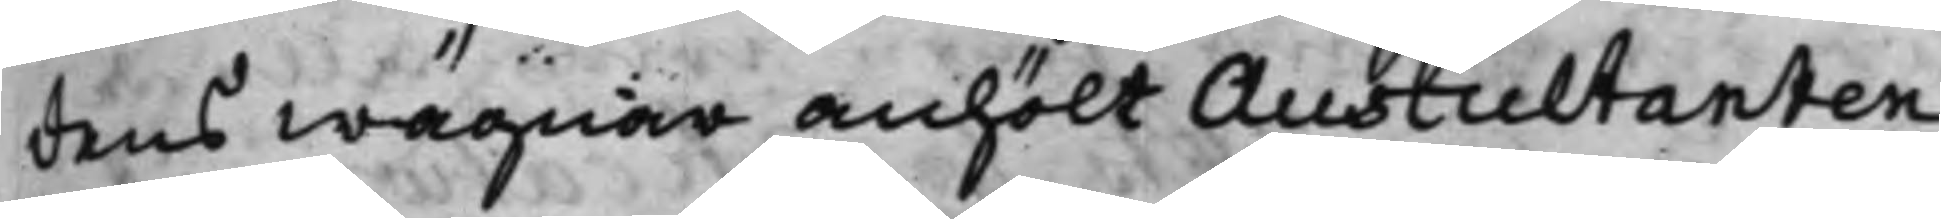dens wägnar anhölt Auscultanten
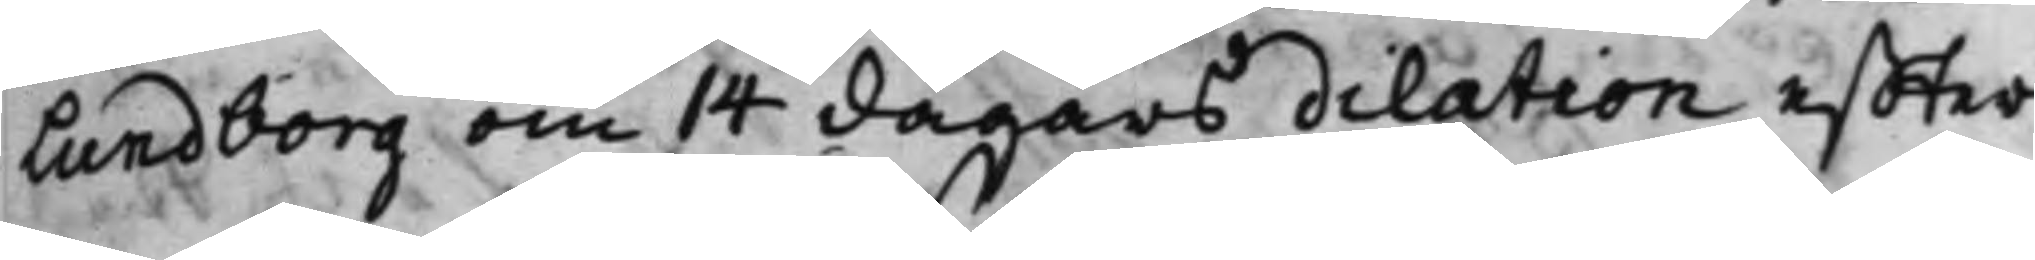Lundborg om 14 dagars delation effter
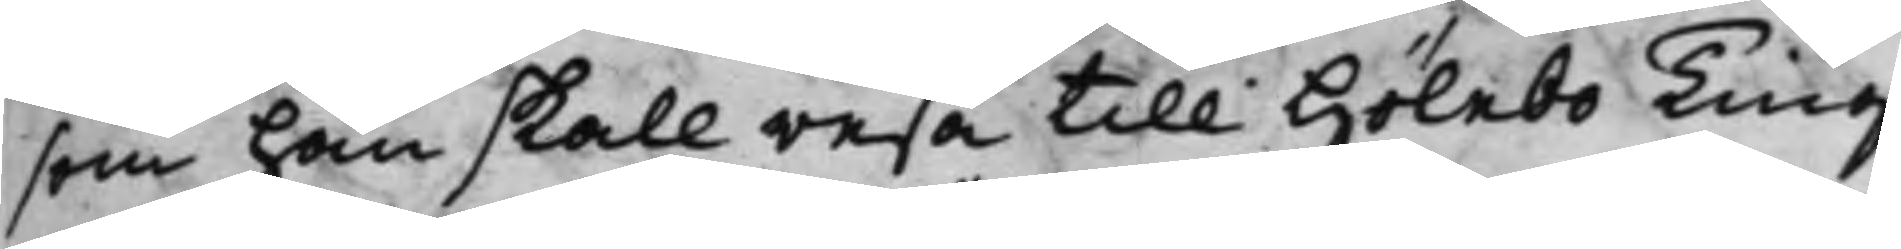som han skall resa till Hölebo Ting;
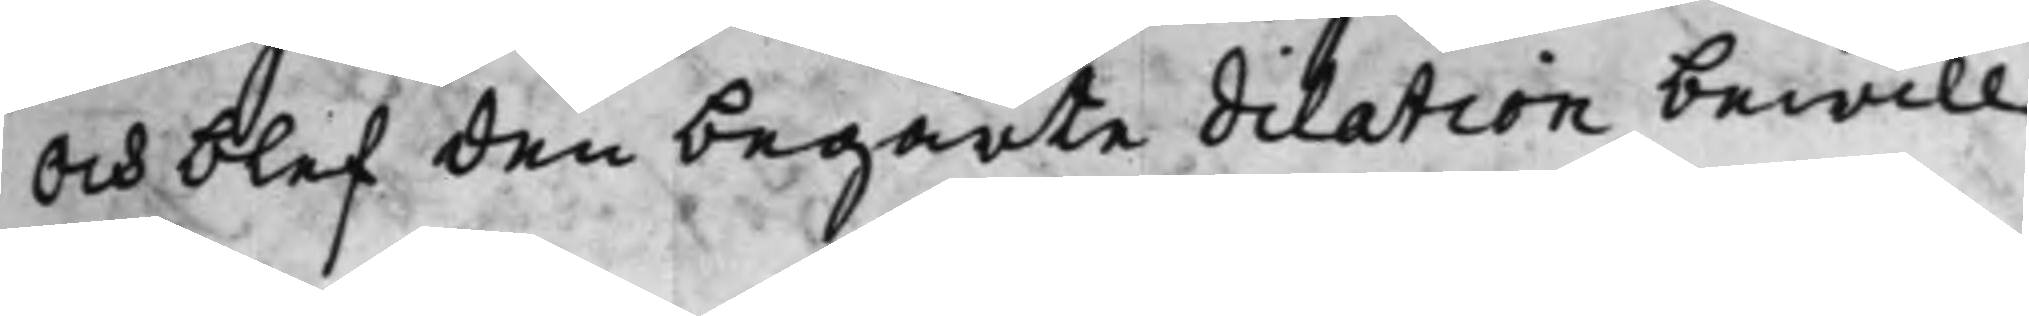Och blef den begärte dilation bewill¬
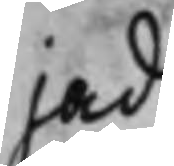jad.
